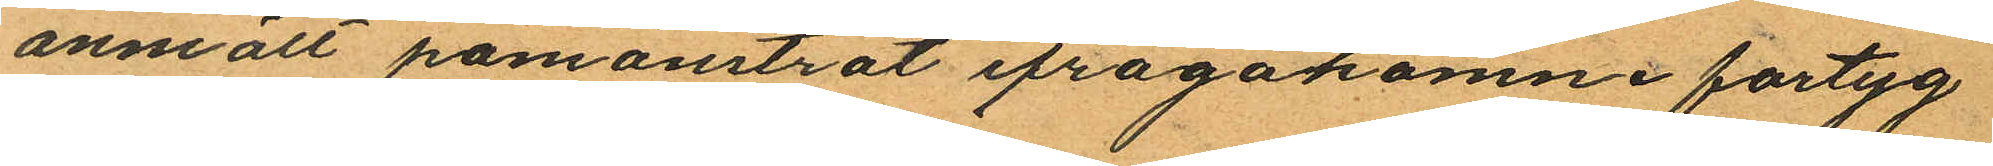anmält påmönstrat ifrågakomne fartyg
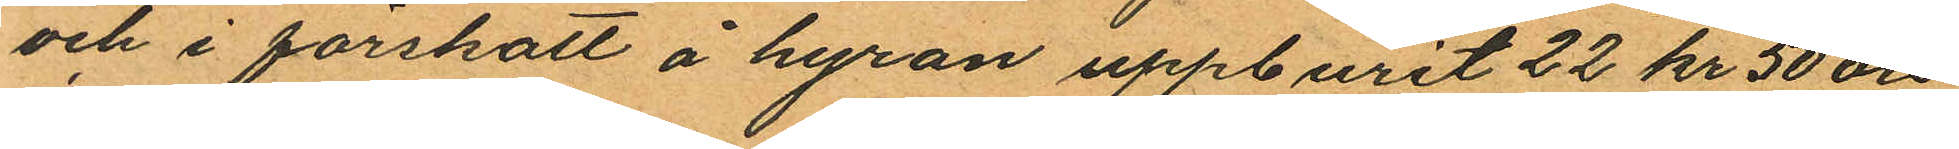och i förskatt å hyran uppburit 22 kr 50 öre
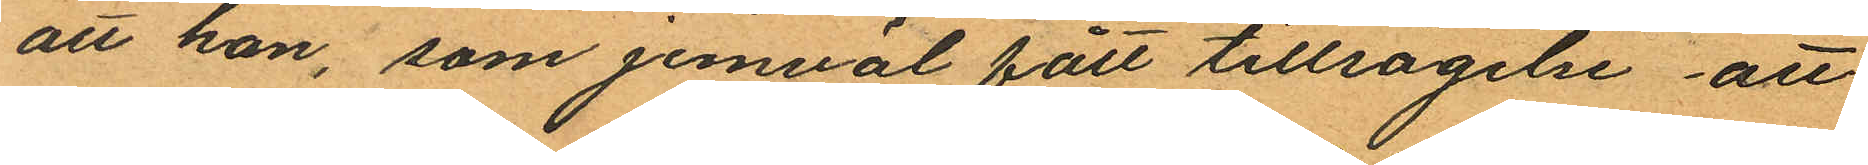att han, som jemväl fått tillsägelse att
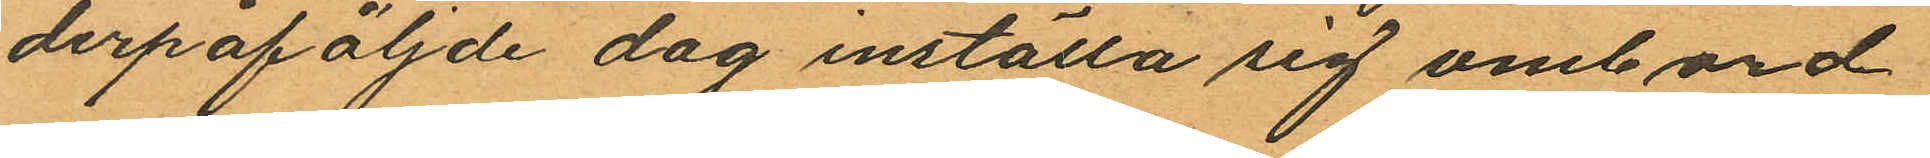derpåföljde dag inställa sig ombord
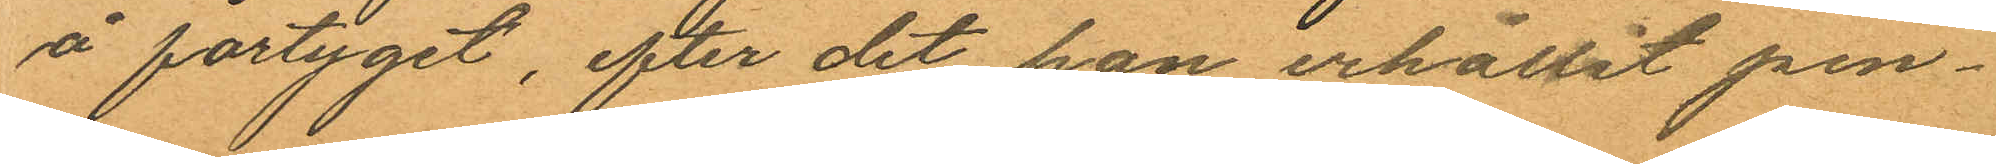å fartyget, efter det han erhållit pen¬
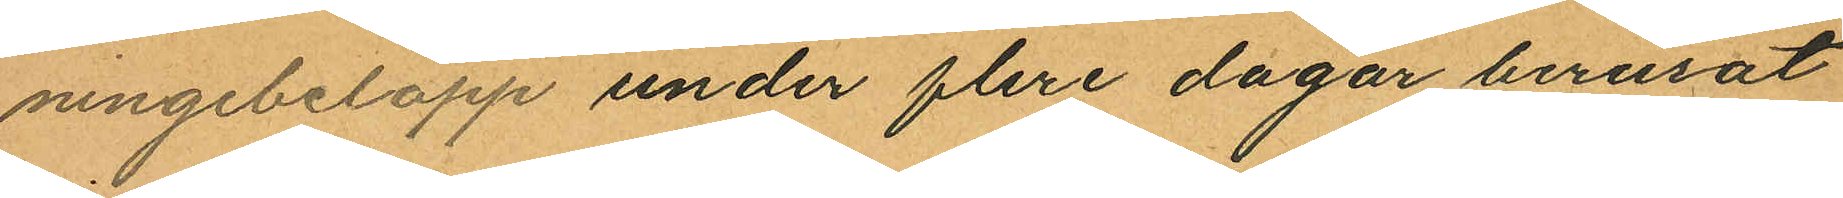ningebelopp under flere dagar berusat
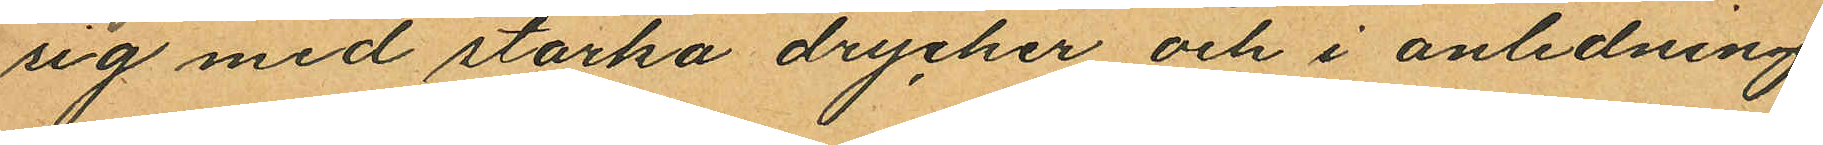sig med starka drycker och i anledning
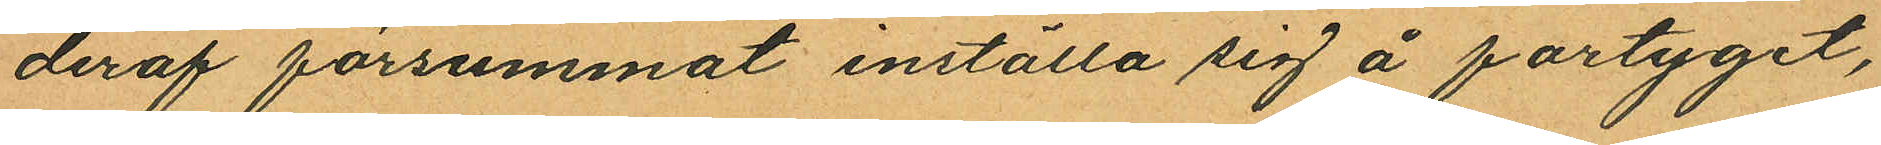deraf försummat inställa sig å fartyget,
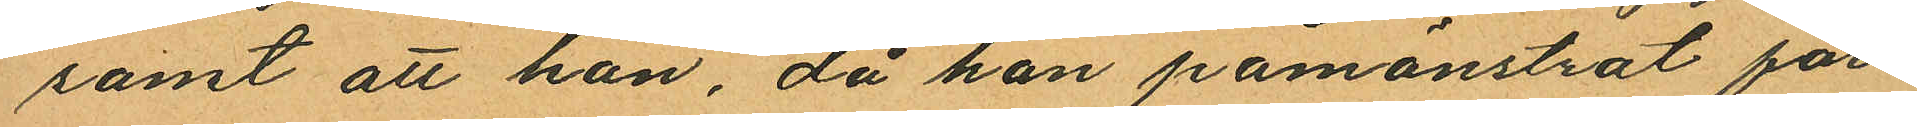samt att han, då han påmönstrat far
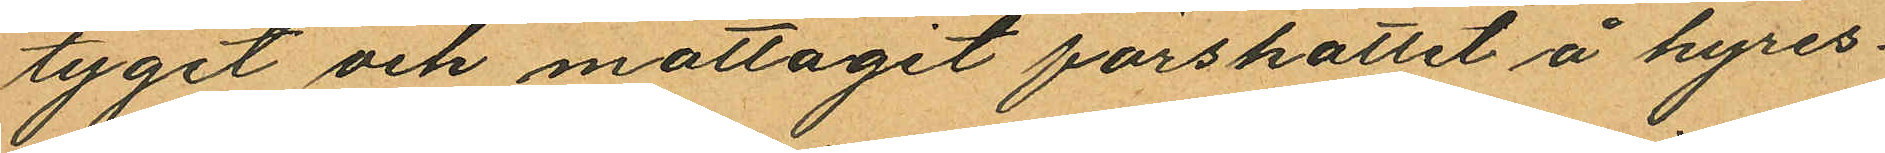tyget och mottagit förskottet å hyres¬
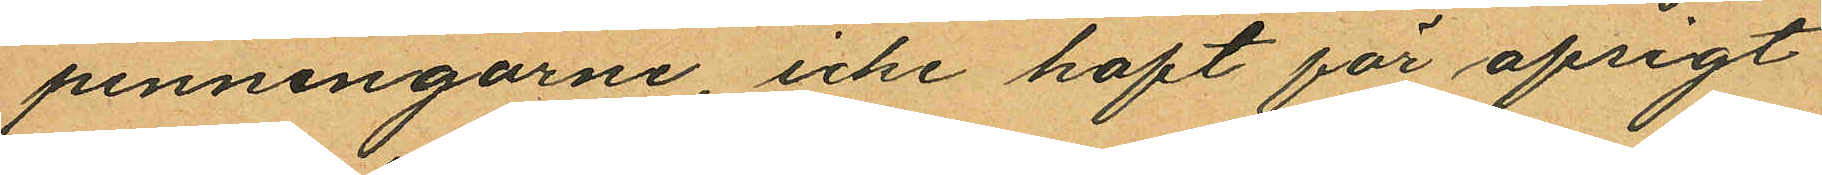penningarne icke haft för afsigt
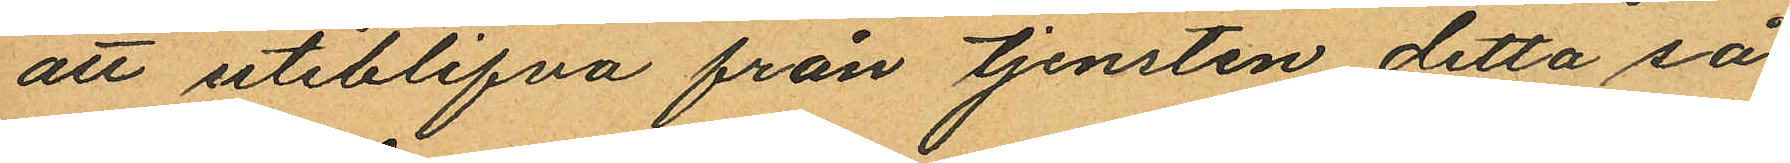att uteblifva från tjensten detta så
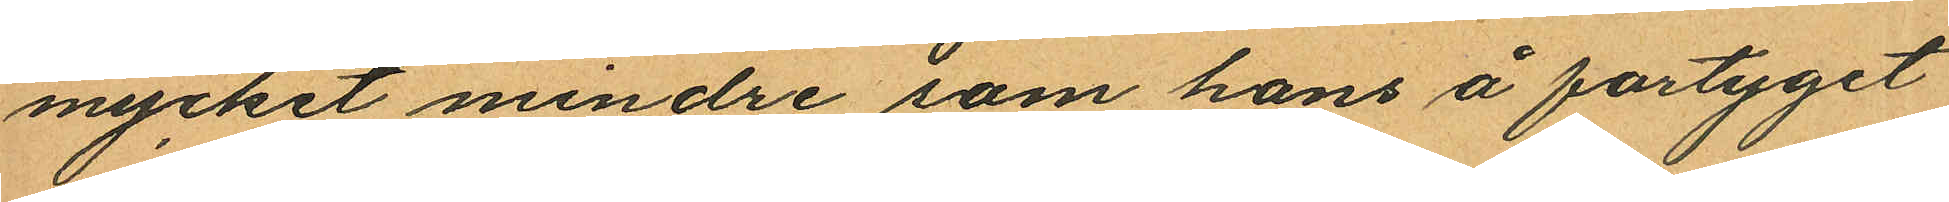mycket mindre som hans å fartyget
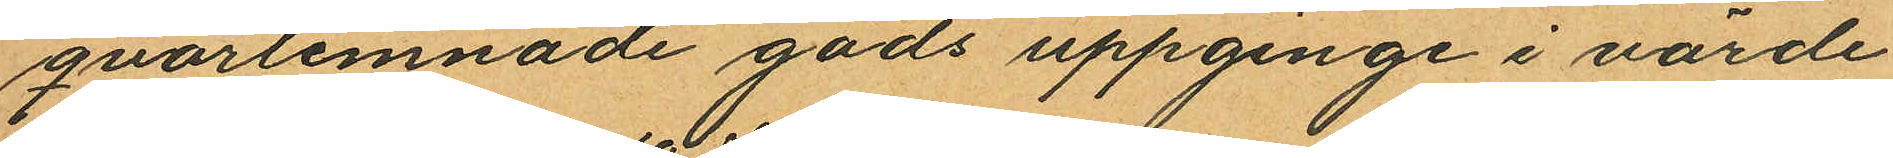qvarlemnade gods uppginge i värde
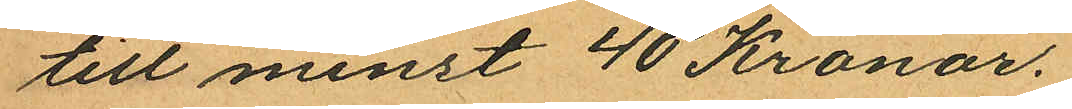till minst 40 Kronor.
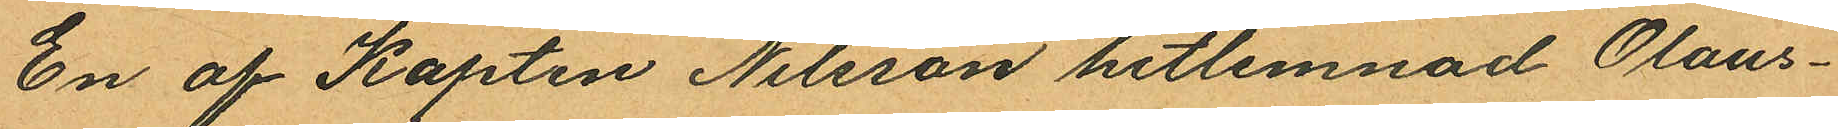En af Kapten Nilsson hitlemnad Olaus¬
